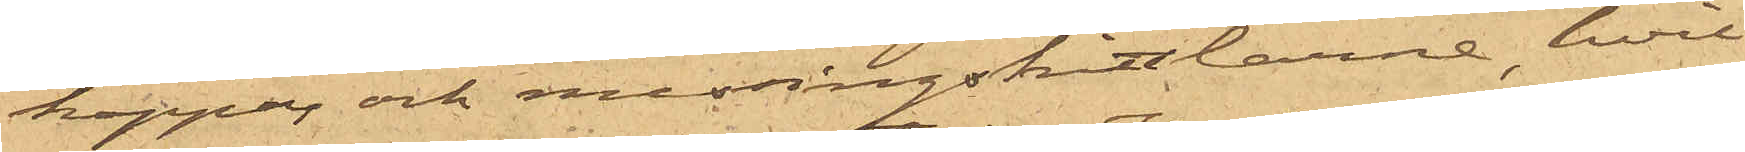koppar och messingskittlarne, hvil¬
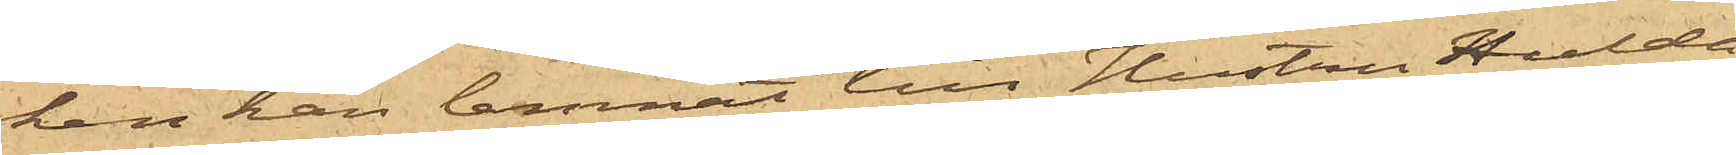ka han lemnat till Hustru Hulda
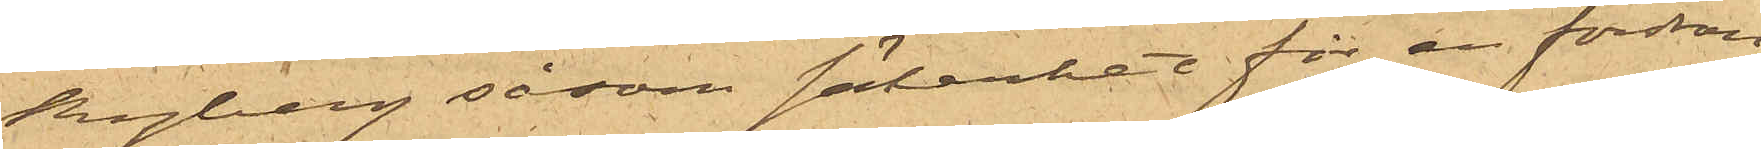Ryberg såsom säkerhet för en fordran
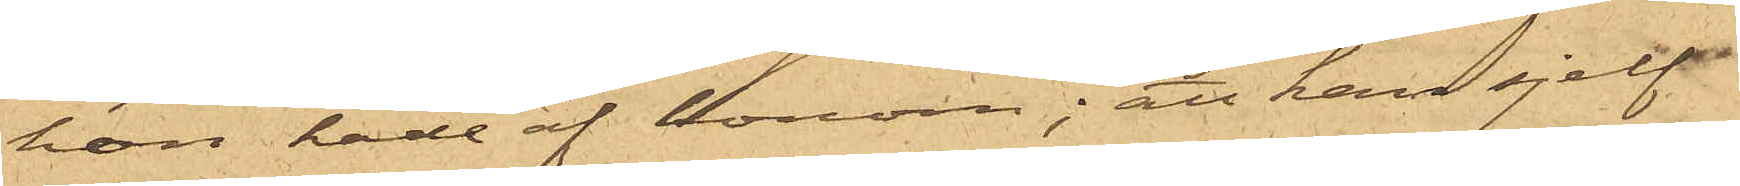hon hade af honom; att han sjelf
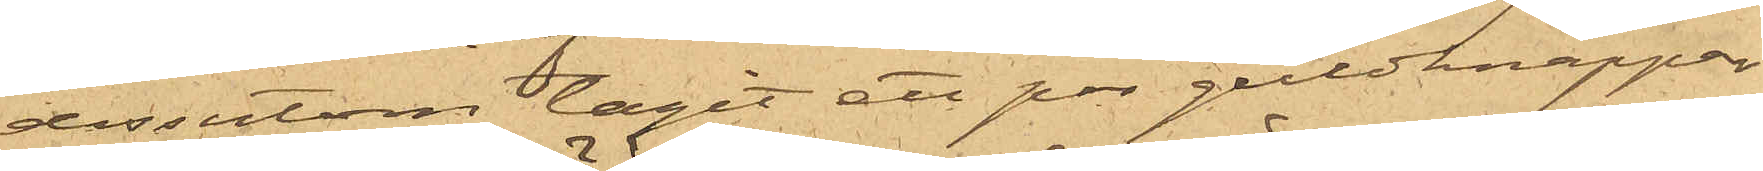dessutom tagit ett par guldknappar
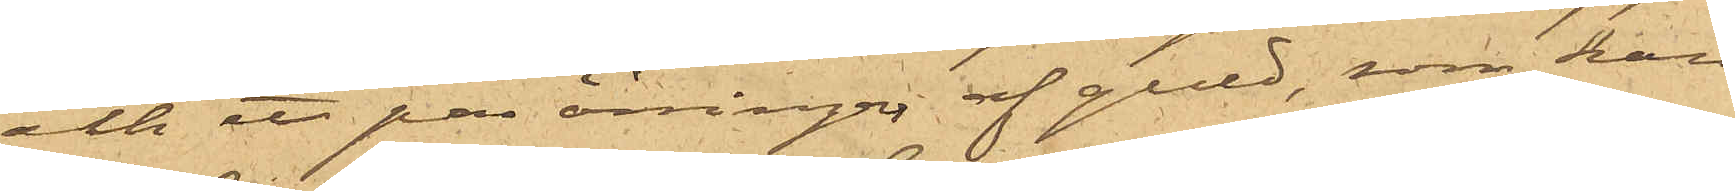och ett par örringar af guld, som han
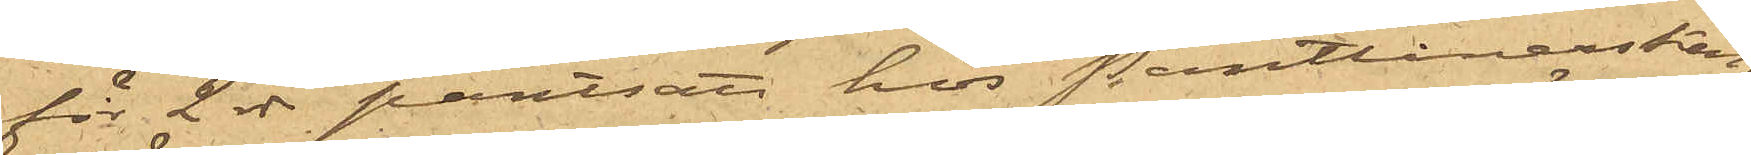för 2 rdr pantsatt hos Pantlånerskan
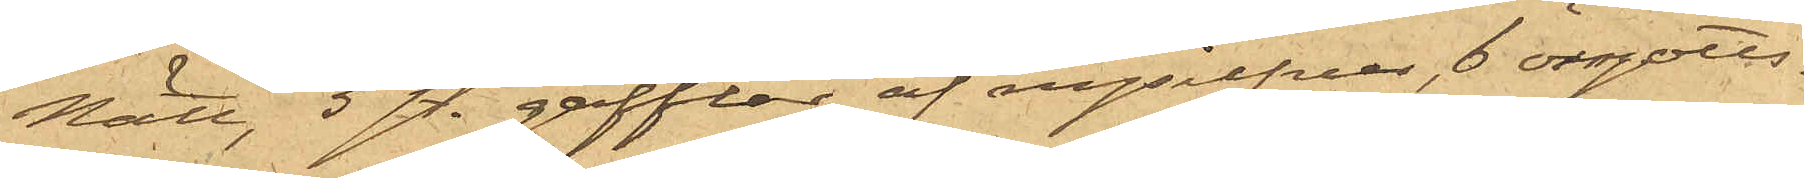Nätt, 5 st. gafflar af nysilfver, 6 örngotts¬
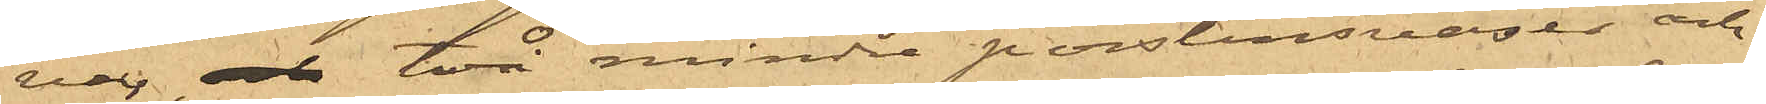var, och två mindre porslinsvaser och
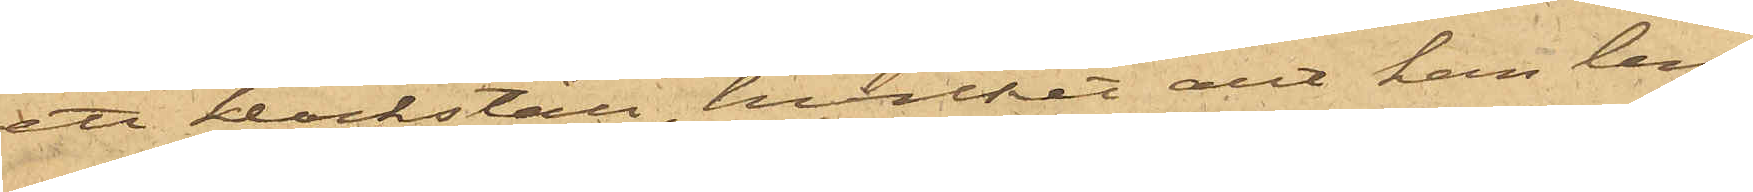ett klockställ, hvilket allt han lem¬
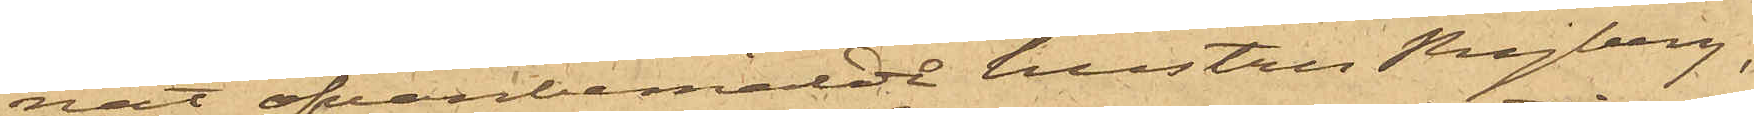nat ofvanbemälde hustru Ryberg,
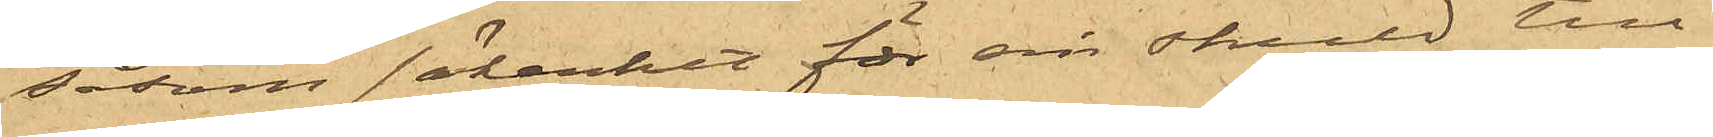såsom säkerhet för sin skuld till
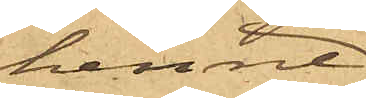henne
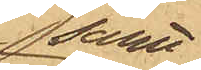samt
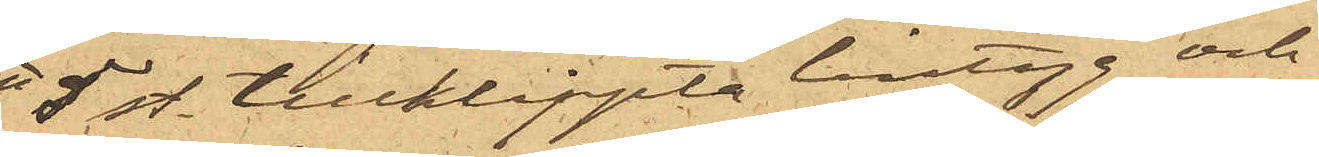5 st. tillklippta lintyg och
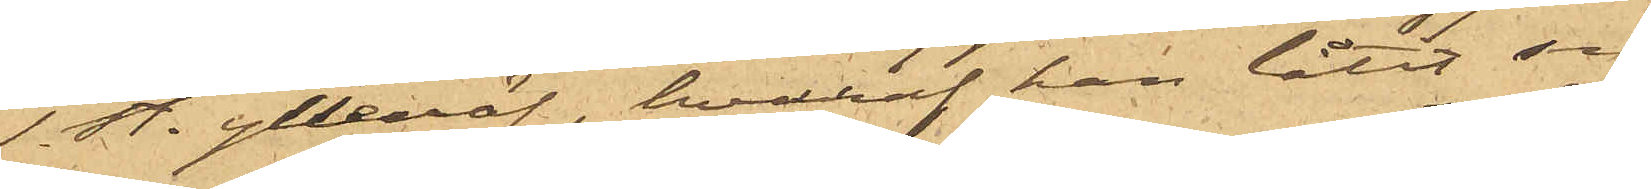1 st. ylleväf, hvaraf han låtit sy
